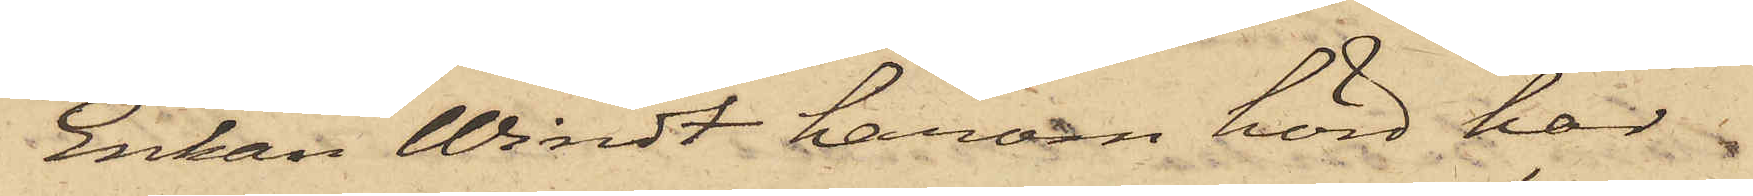Enkan Windt härom hörd här
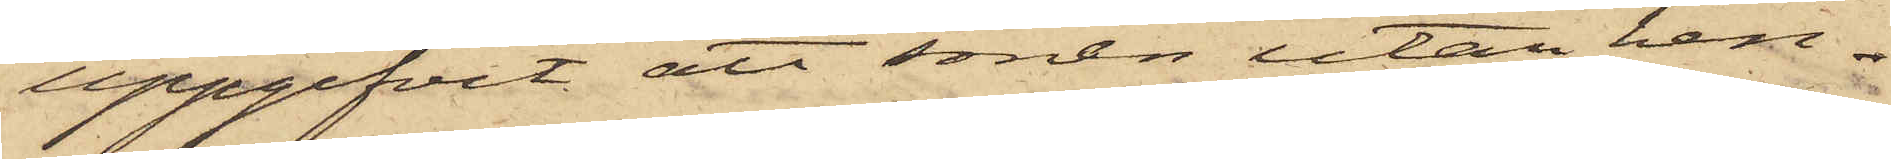uppgifvit, att sonen utan hen¬
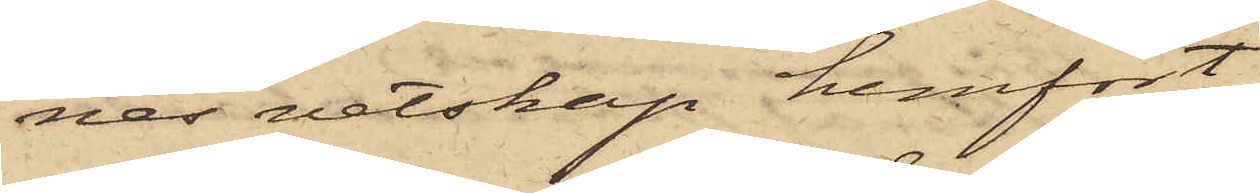nes vetskap hemfört
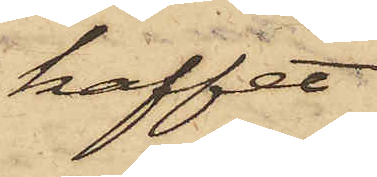kaffet
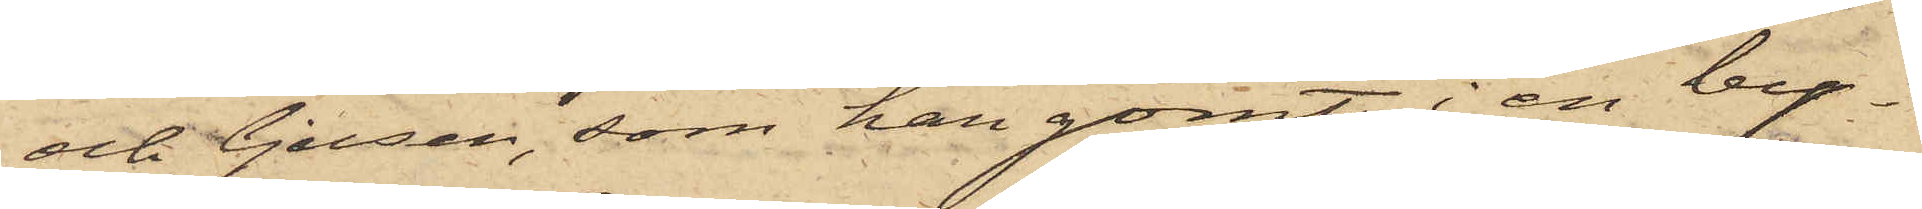och ljusen, som han gömt i en by¬
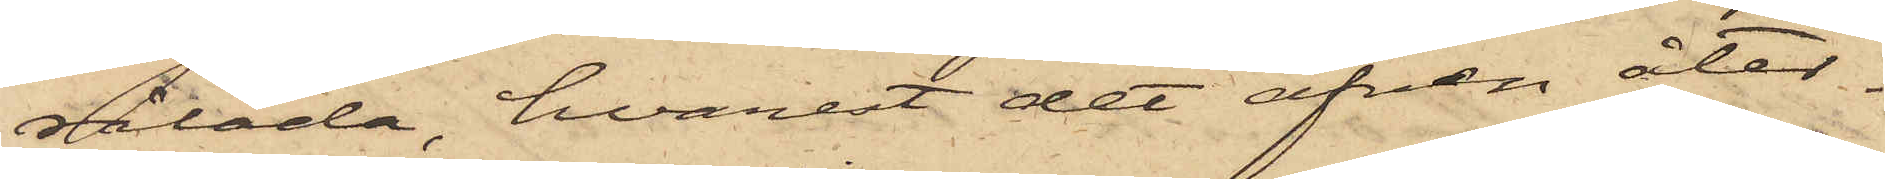rålåda, hvarest det äfven åter¬
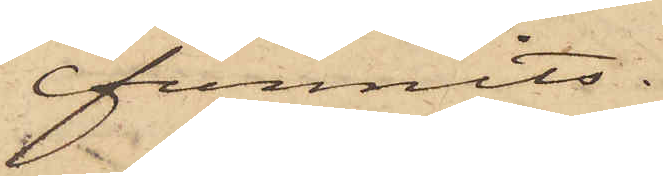funnits.
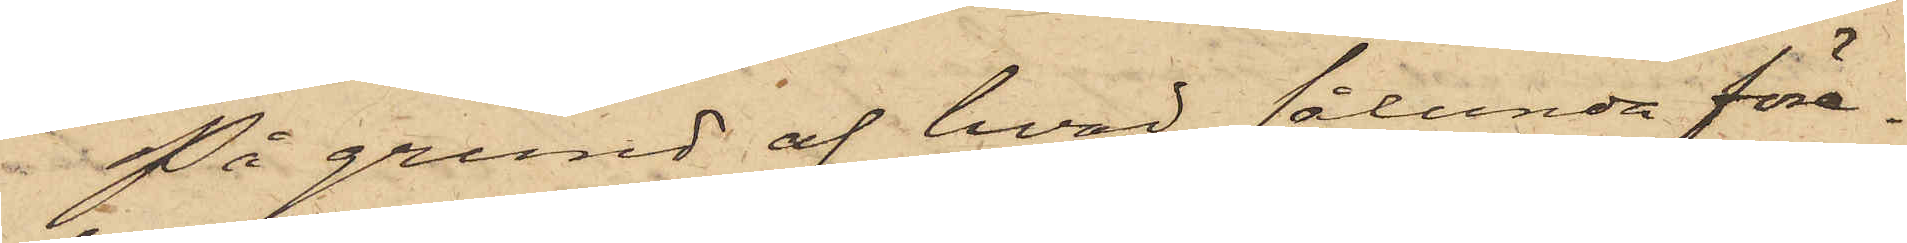På grund af hvad sålunda före¬
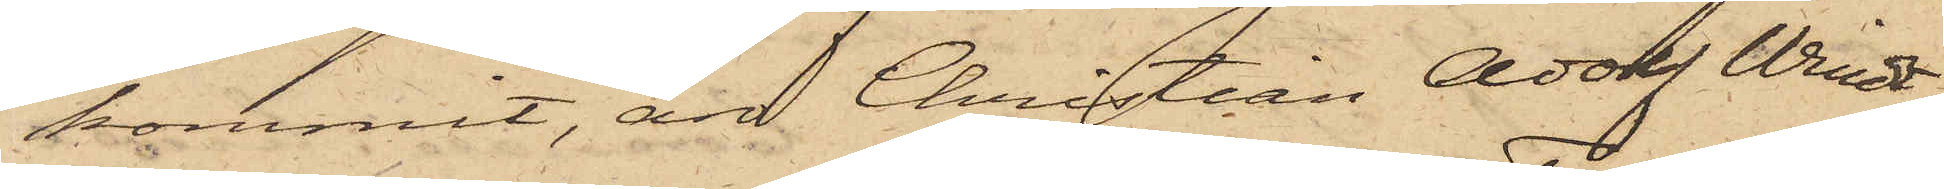kommit, är Christian Adolf Windt,
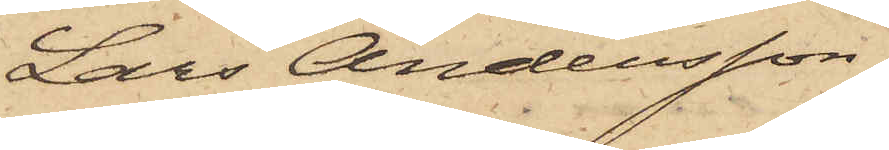Lars Andersson,
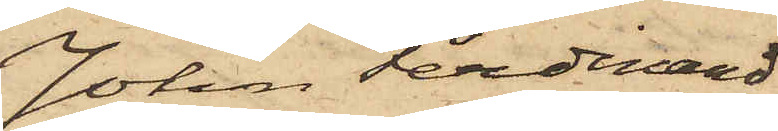Johan Ferdinard
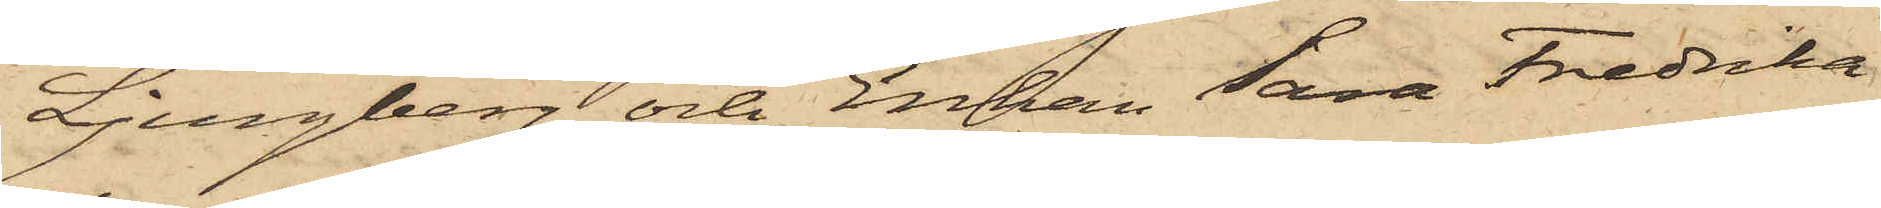Ljungberg och Enkan Sara Fredrika
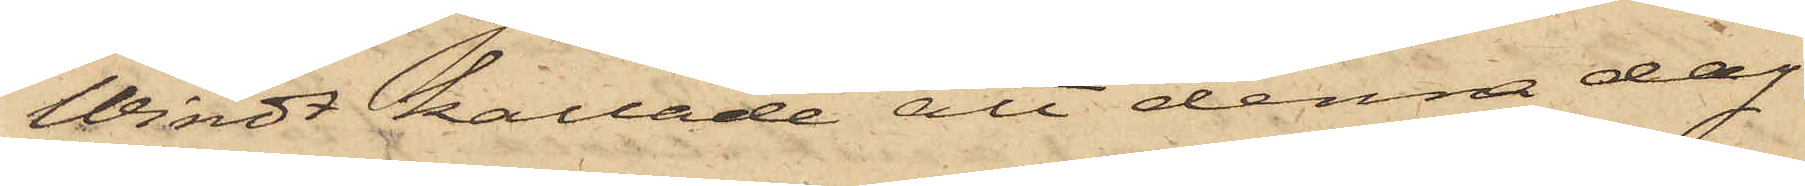Windt kallade att denna dag
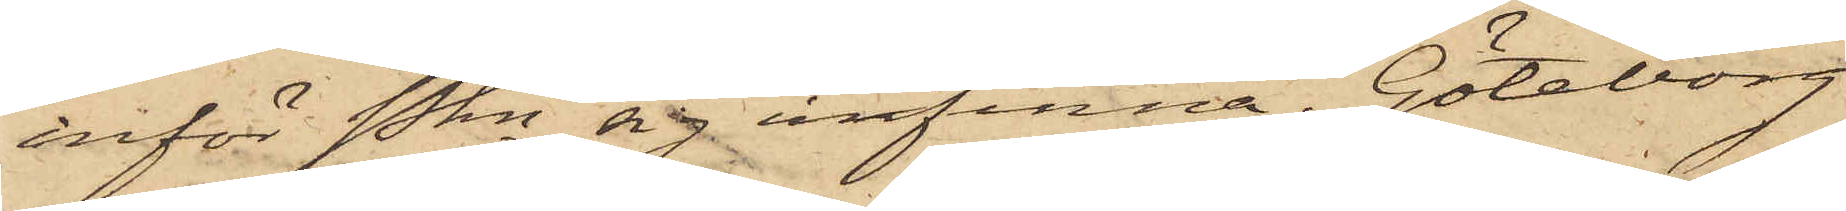inför Pkn sig infinna. Göteborg
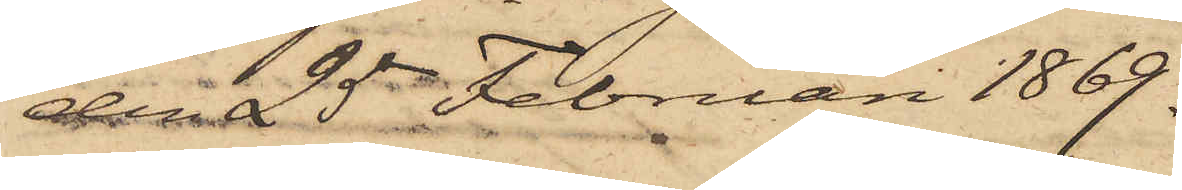den 25 Februari 1869.
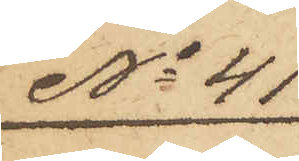No 41
